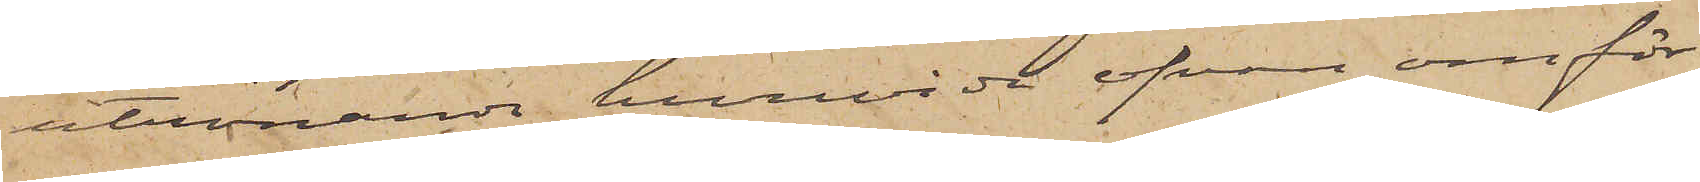utrönande huruvida ofvan omför¬
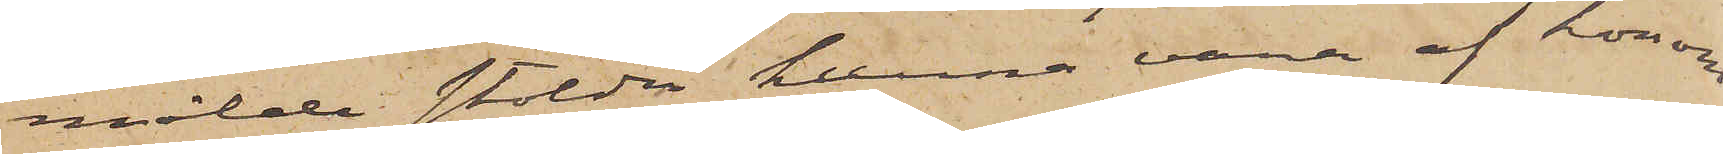mälde stölder kunna vara af honom
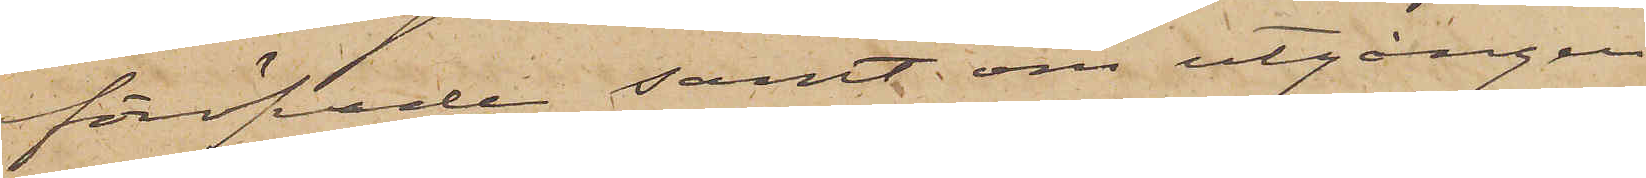föröfvade samt om utgången
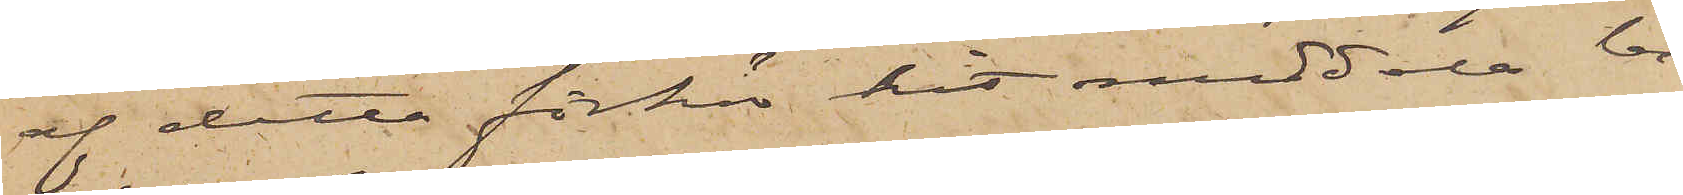af detta förhör hit meddela be¬
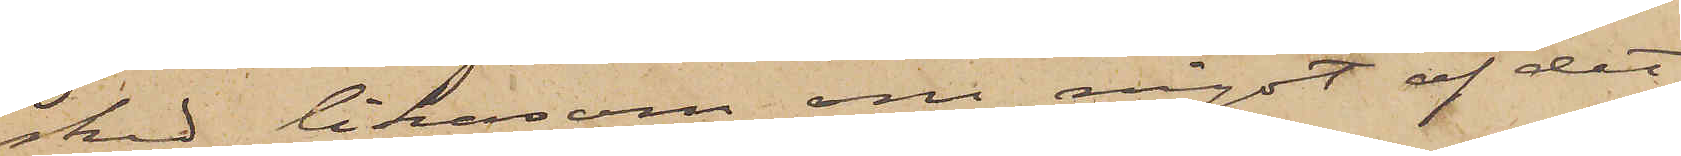sked likasom om något af det
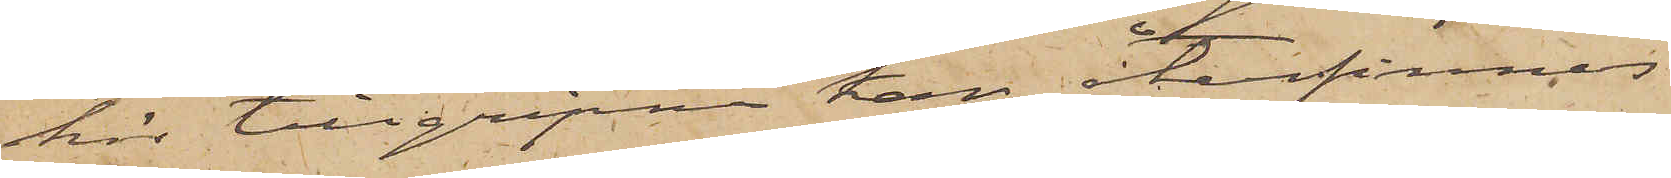här tillgripne kan återfinnas
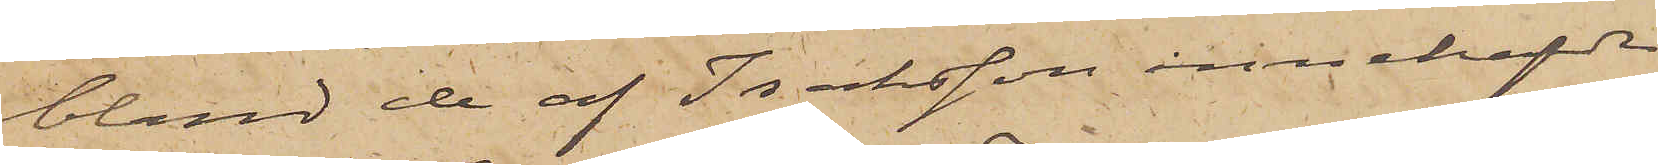bland de af Isaksson innehafvde
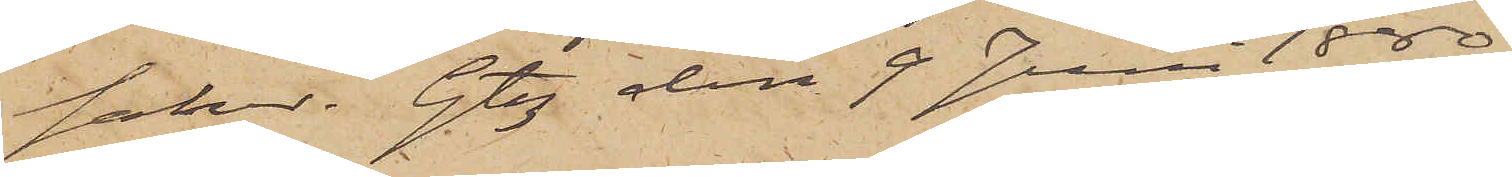saker. Gtbg den 9 Juni 1880.
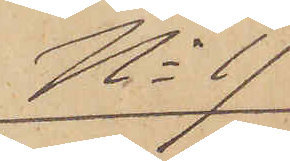No 17
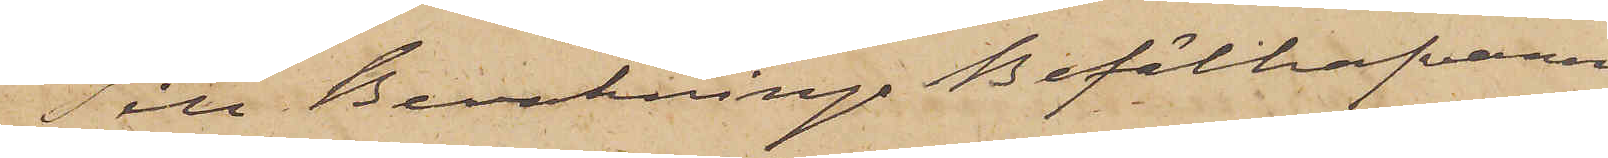Till Bevaknings Befälhafvaren
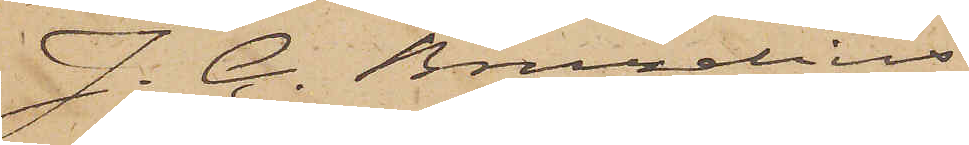J. C. Bruzelius
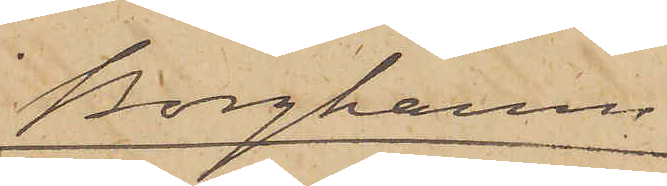Borghamn
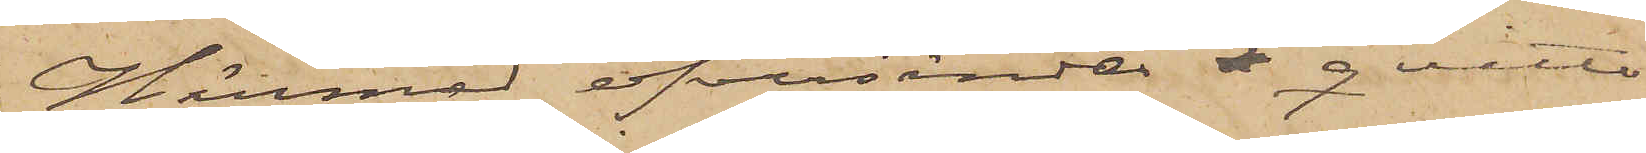Härmed öfversändes å qvitto
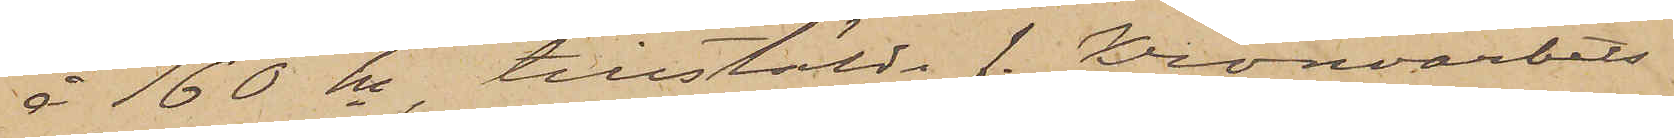å 160 kr, tillstälda f. Kronoarbets¬
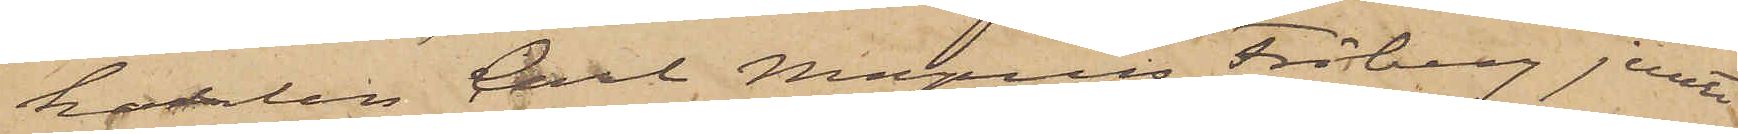karlen Carl Magnus Fröberg jemte
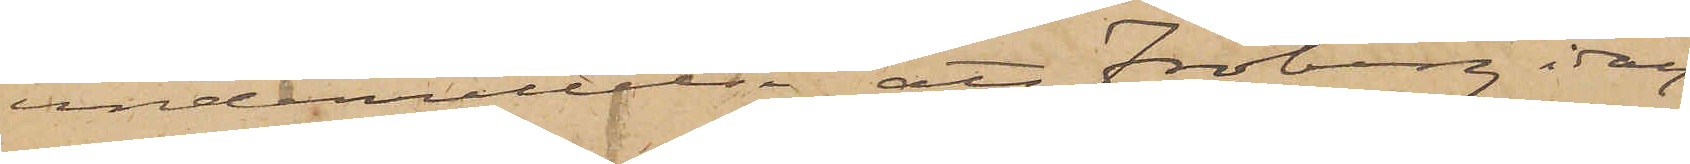underrättelse att Fröberg idag
